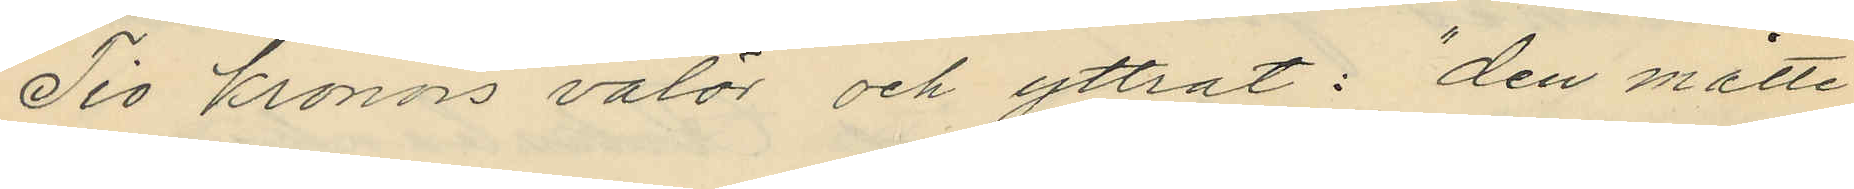Tio kronors valör och yttrat: "den måtte
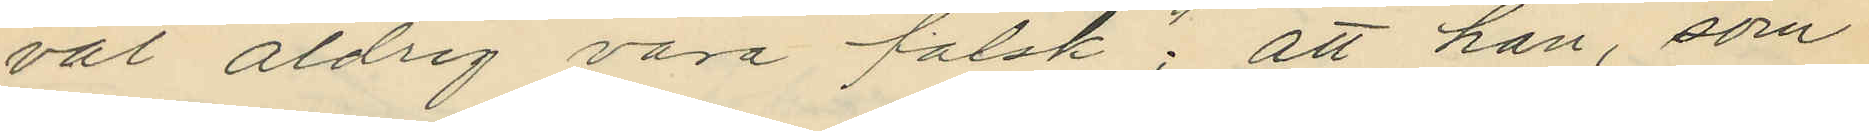väl aldrig vara falsk"; att han, som
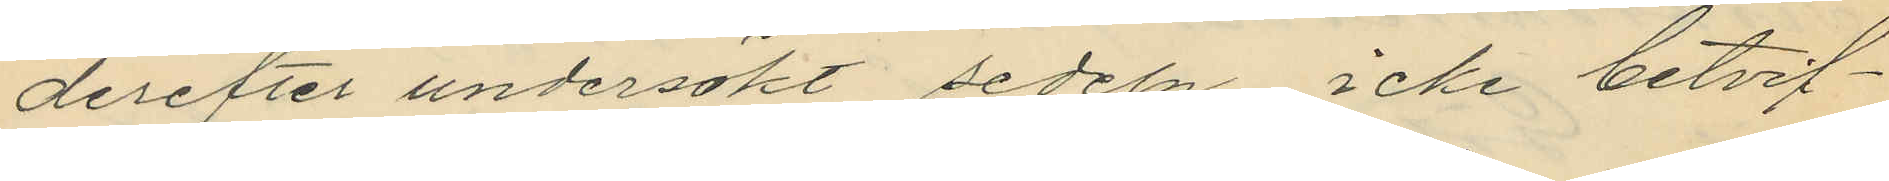derefter undersökt sedeln, icke betvif¬
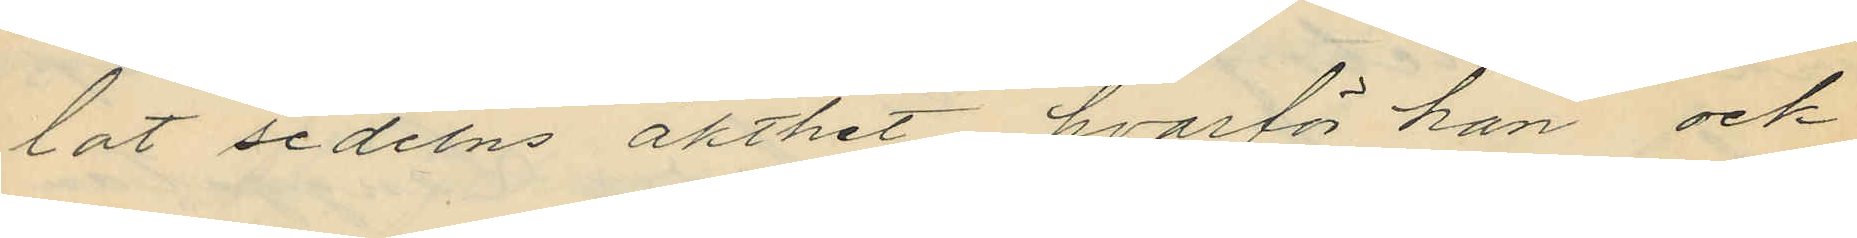lat sedelns äkthet, hvarför han och
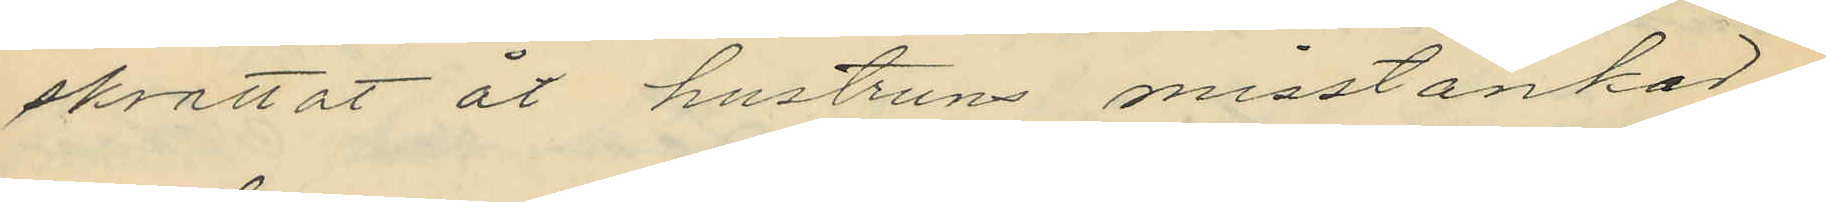skrattat åt hustruns misstankar;
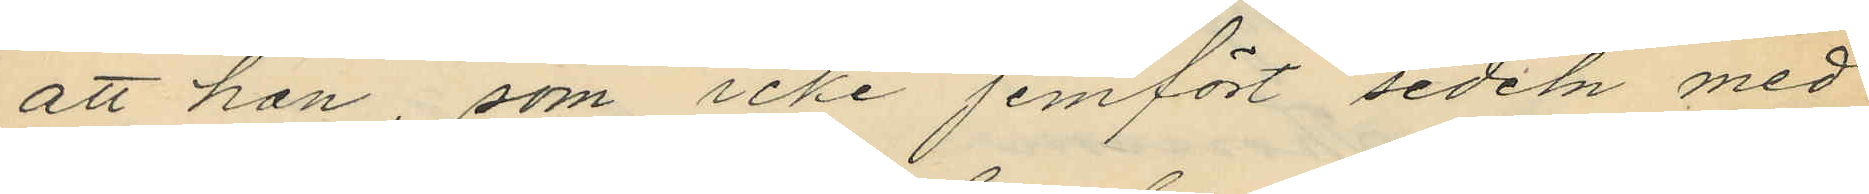att han som icke jemfört sedeln med
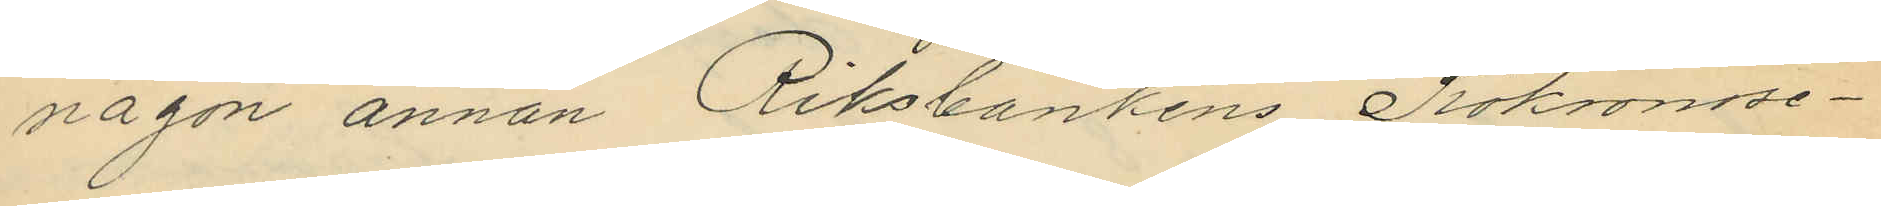någon annan Riksbankens Tiokronose¬
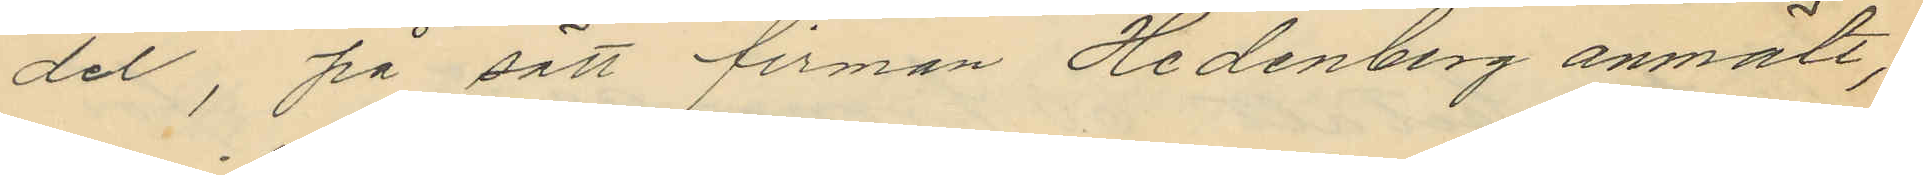del, på sätt firman Hedenberg anmält,
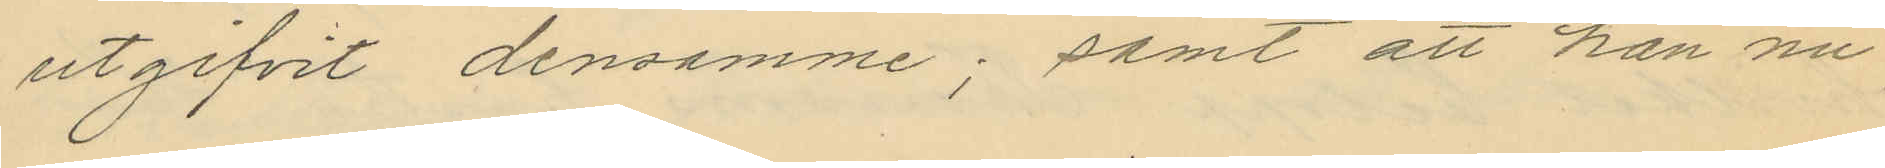utgifvit densamme; samt att han nu
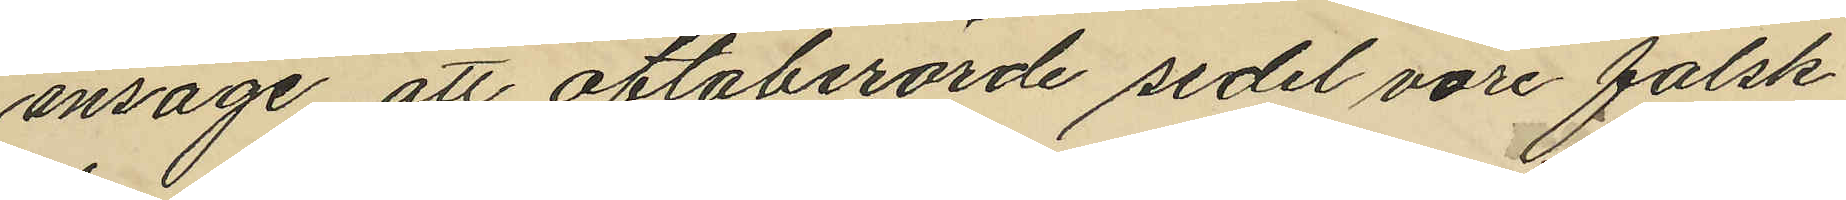ansåge att oftaberörde sedel vore falsk
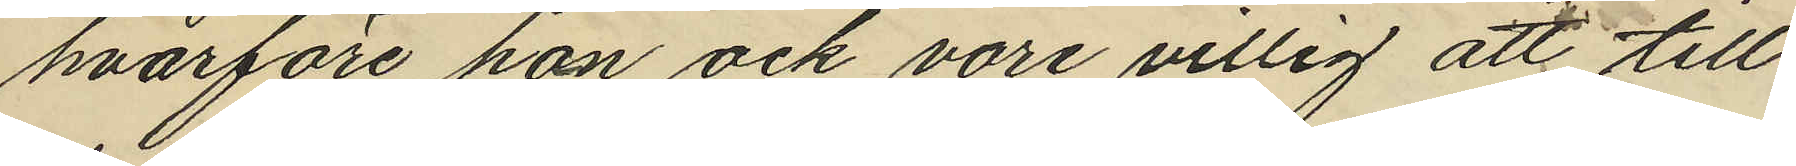hvarföre han ock vore villig att till
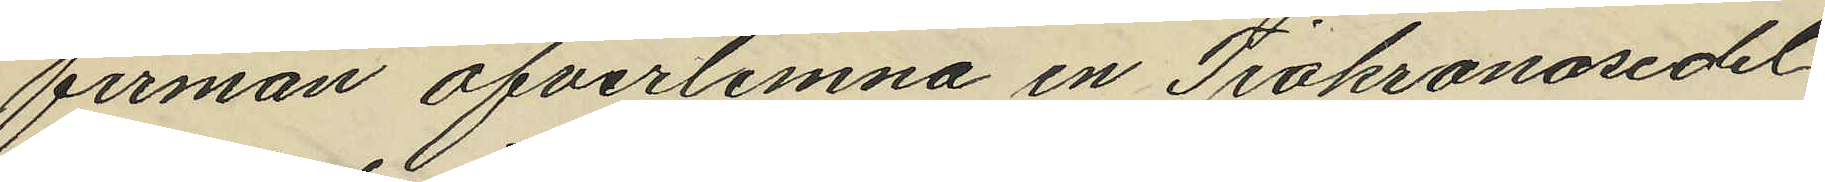firman öfverlemna en Tiokronosedel
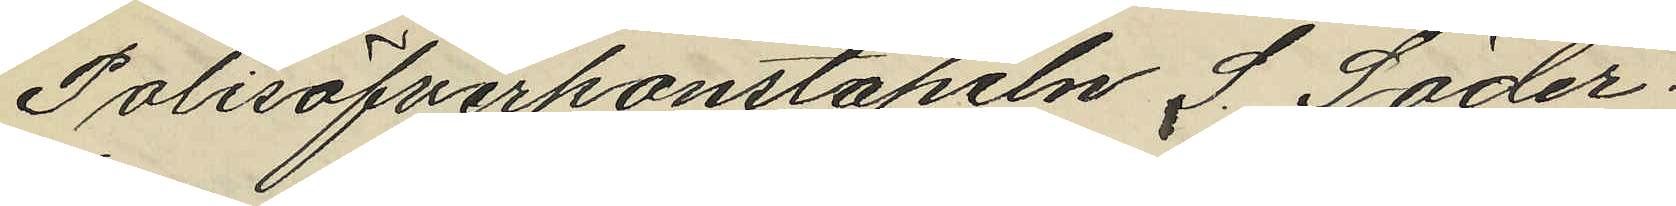Polisöfverkonstapeln S. Söder¬
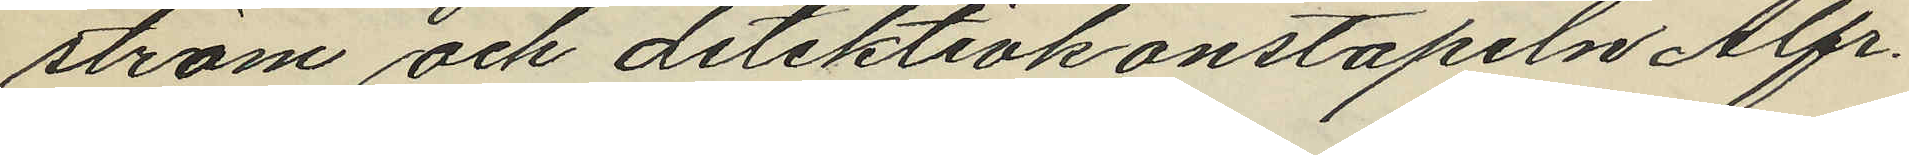ström och detektivkonstapeln Alfr.
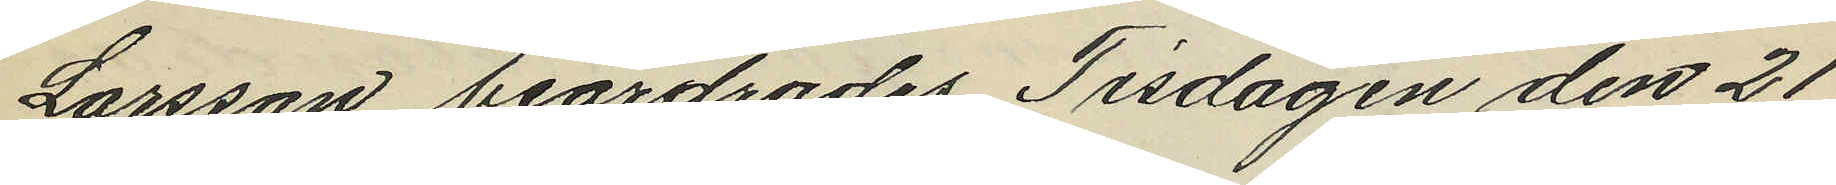Larsson beordrades Tisdagen den 21
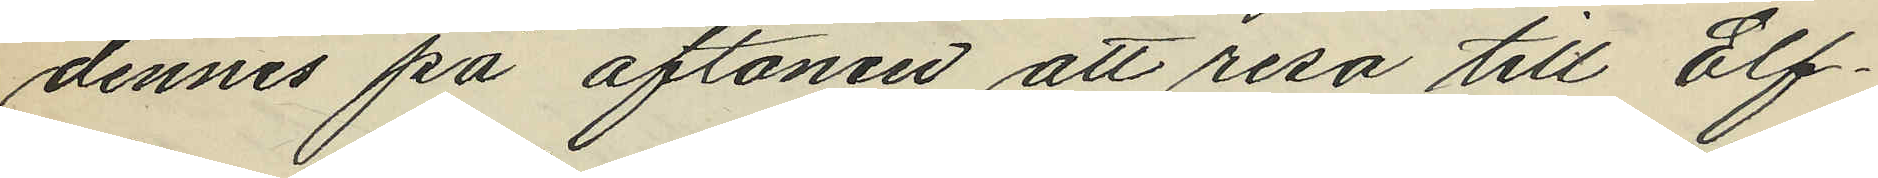dennes på aftonen att resa till Elf¬
